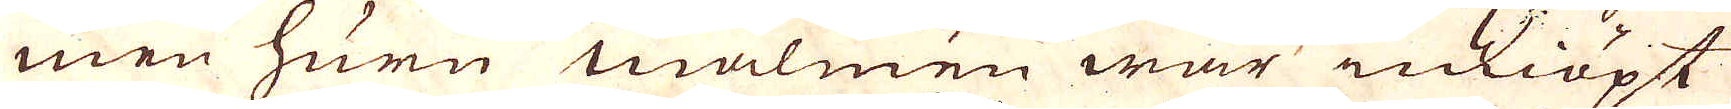men huru malmen war inköpt
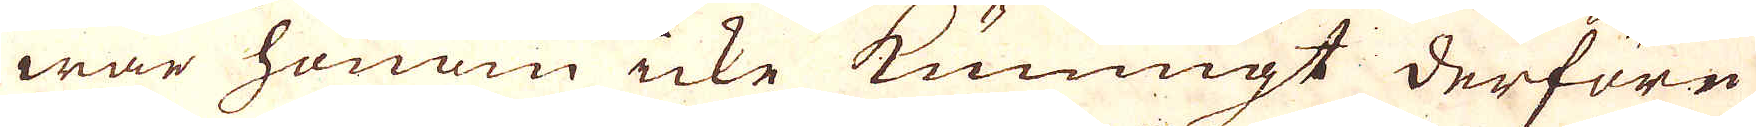war honom icke kunnigt derföre
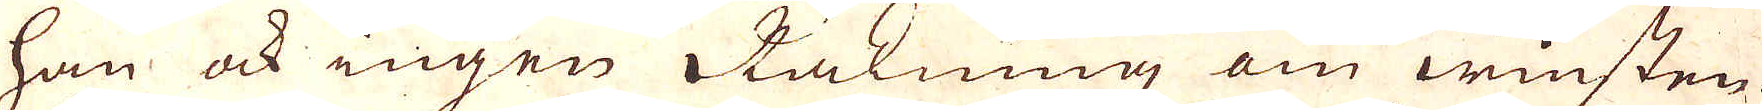ham ock ingen Räkning om winsten
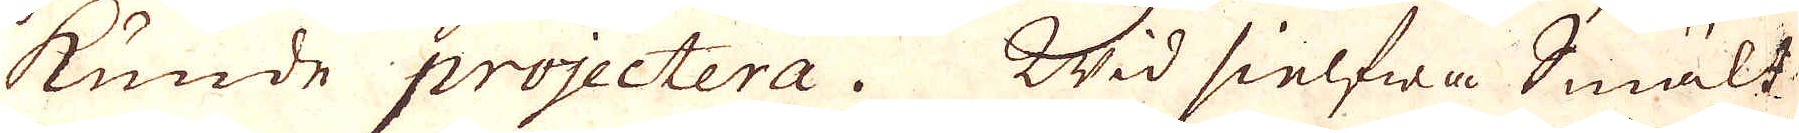kunde projectera. Wid sielfna Smält-
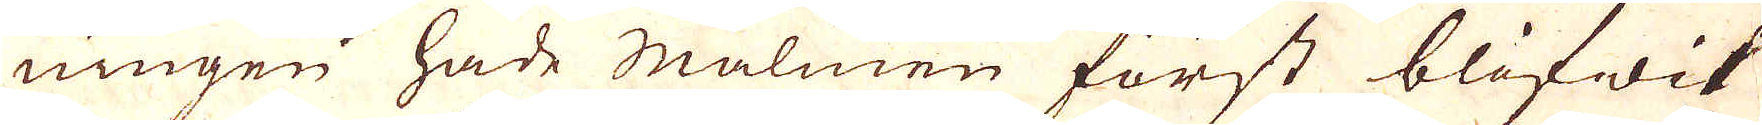ningen hade malmen först blifwit
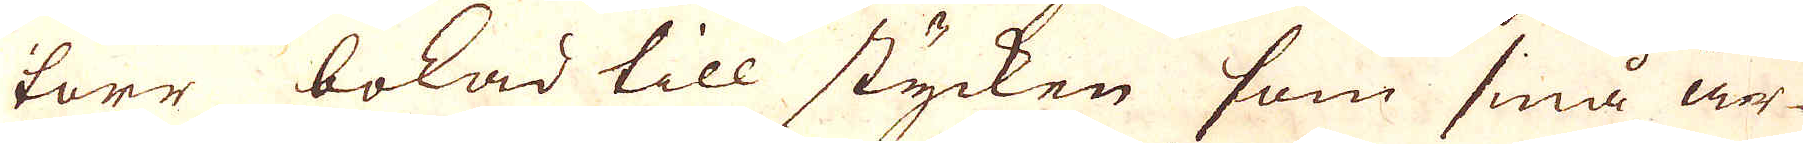torr bokad till stycken som små är-
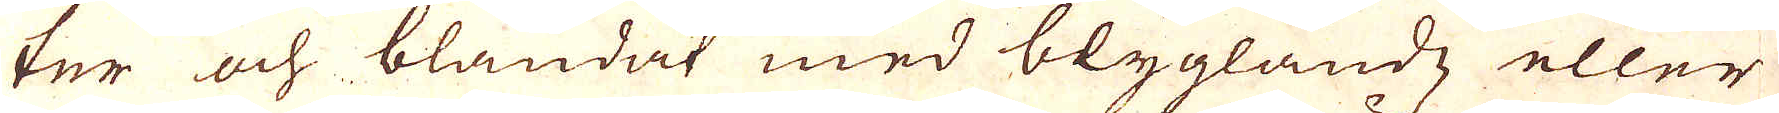ter och blandat med blyglantz eller
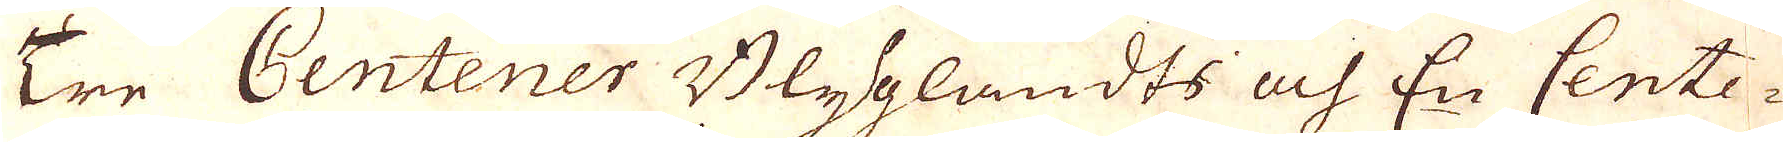Tre Centener Blygglandts uf En Cente-
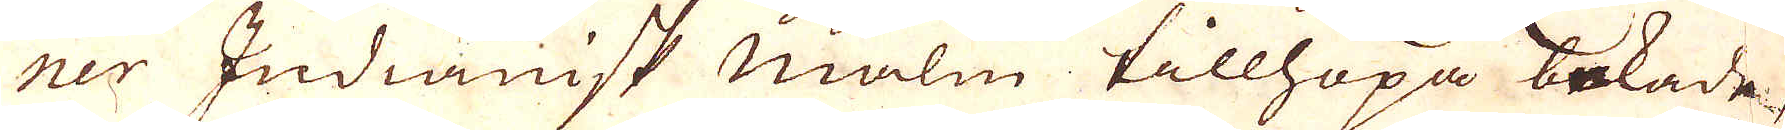ner Indianisk malm tillhopa bokade,
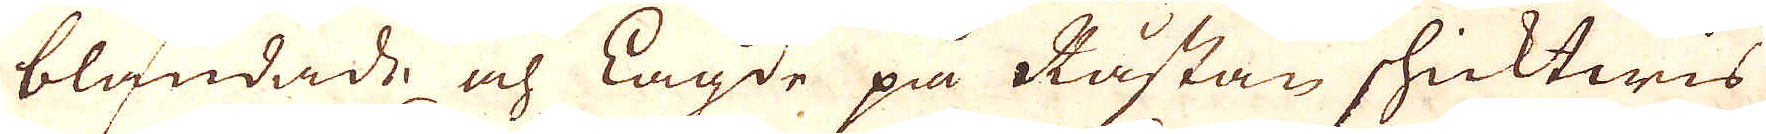blandade och Lagde på Råstan shicktwis
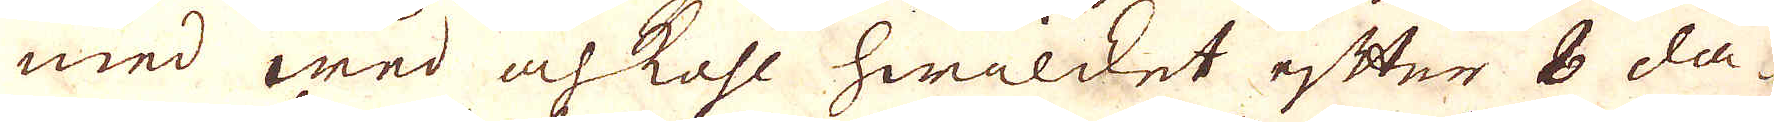med wed och kohl hwilcket efter 8 da-
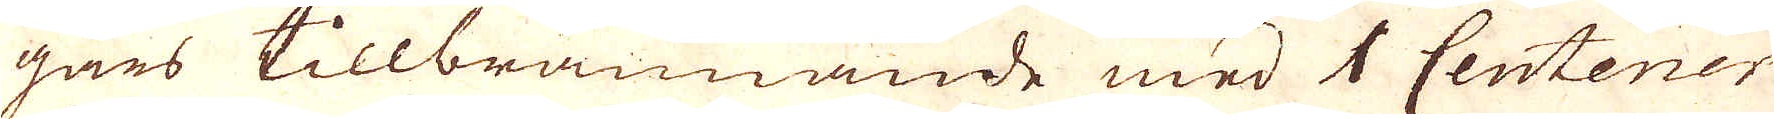gars tillbrännande med 1 Centener
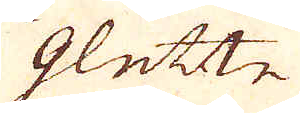glette
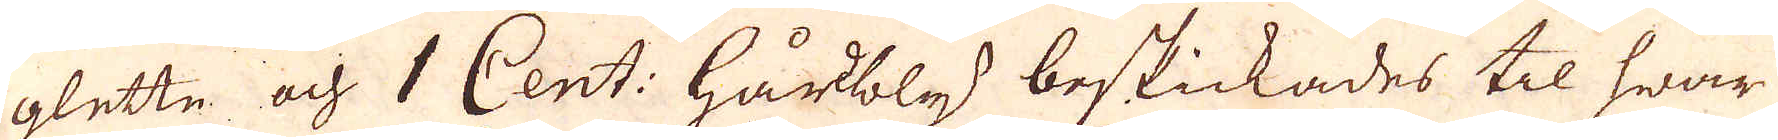glette och 1 Cent: hårtbly beskickades til hwar
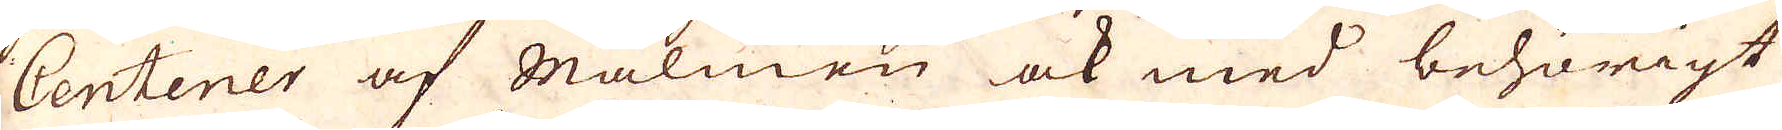Centener af malmen ock med behörigt
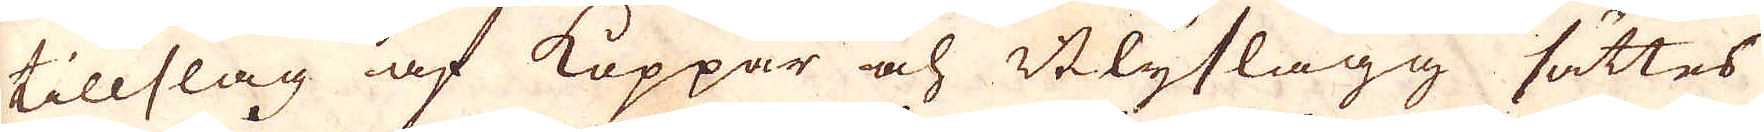tillslag af Koppar och Blyslagg sättes
